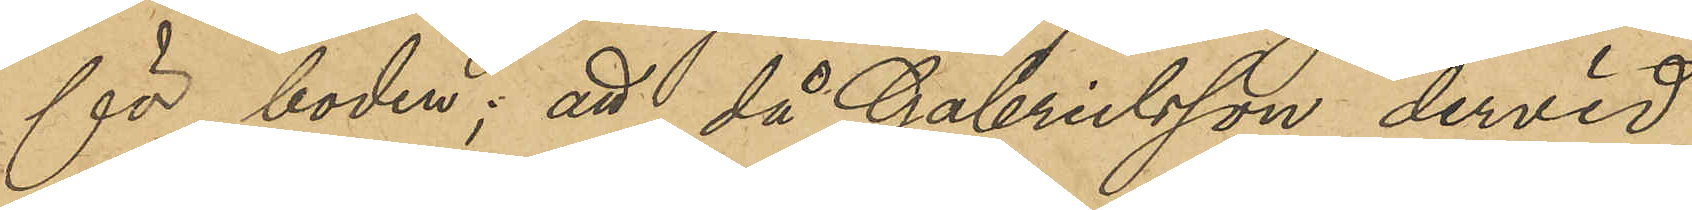för boden; att, då Gabrielsson dervid
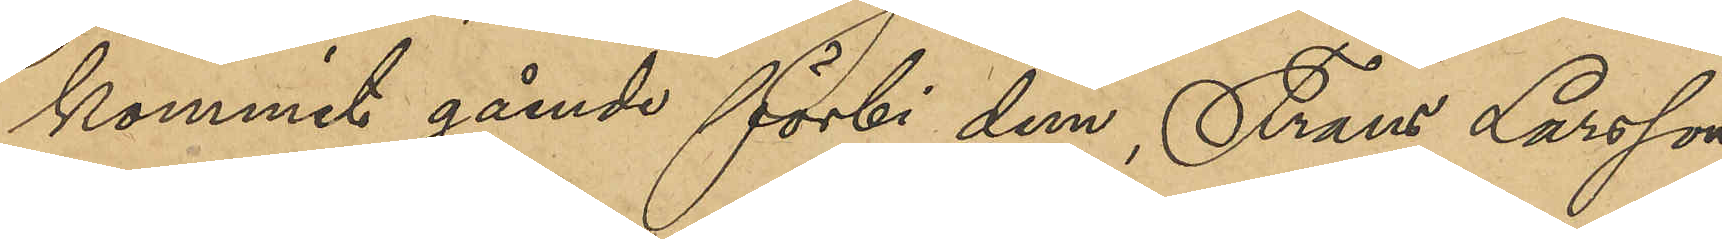kommit gående förbi dem, Frans Larsson
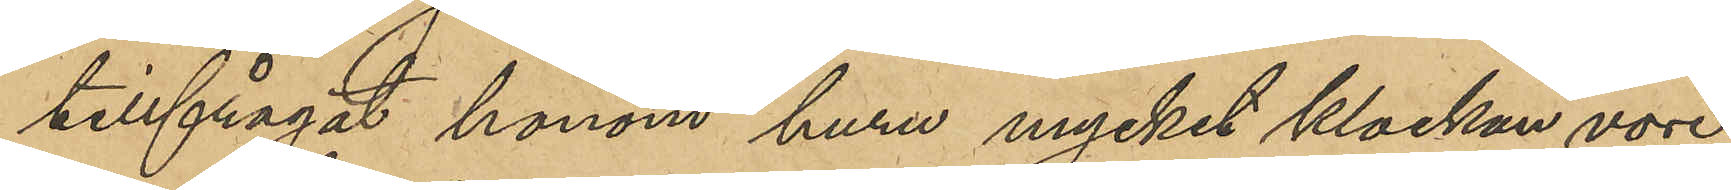tillfrågat honom huru mycket klockan vore;
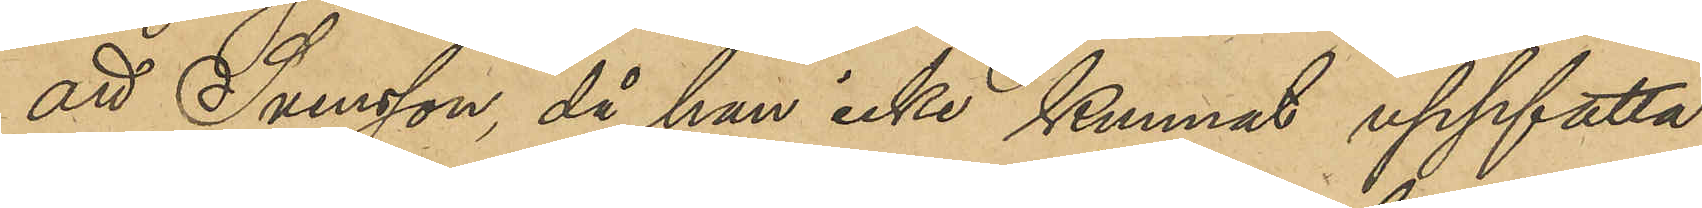att Svensson, då han icke kunnat uppfatta
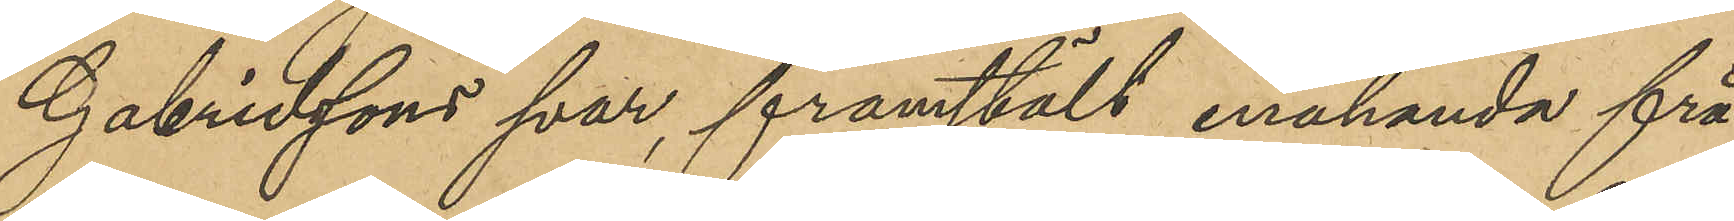Gabrielssons svar, framställt enahanda frå¬
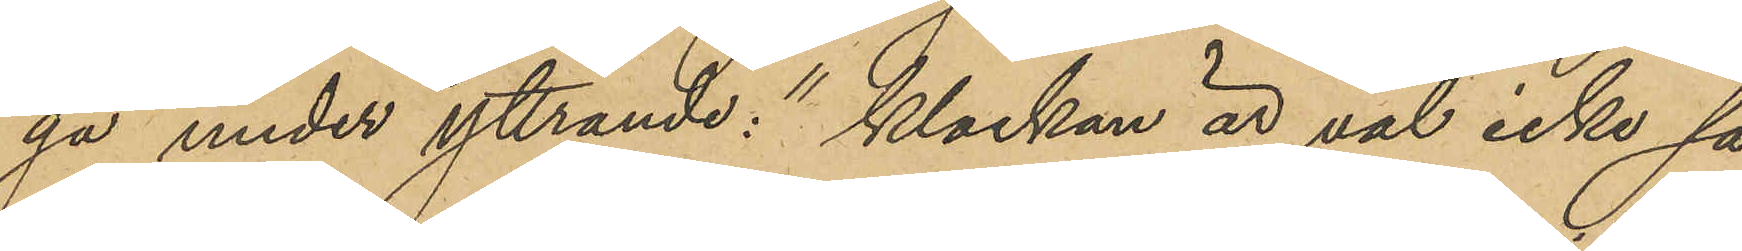ga under yttrande: "klockan är väl icke så
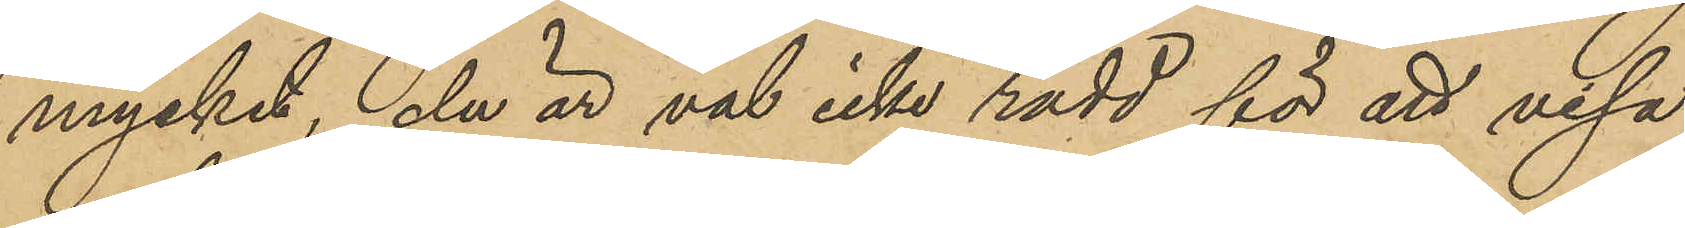mycket, du är väl inte rädd för att visa
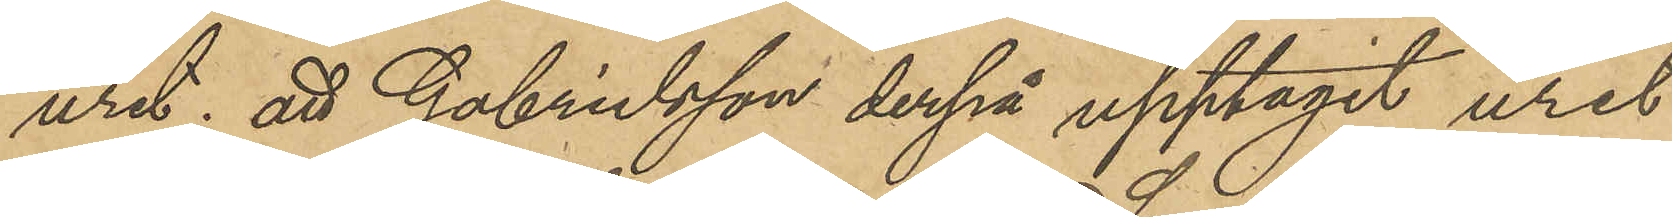uret; att Gabrielsson derpå upptagit uret
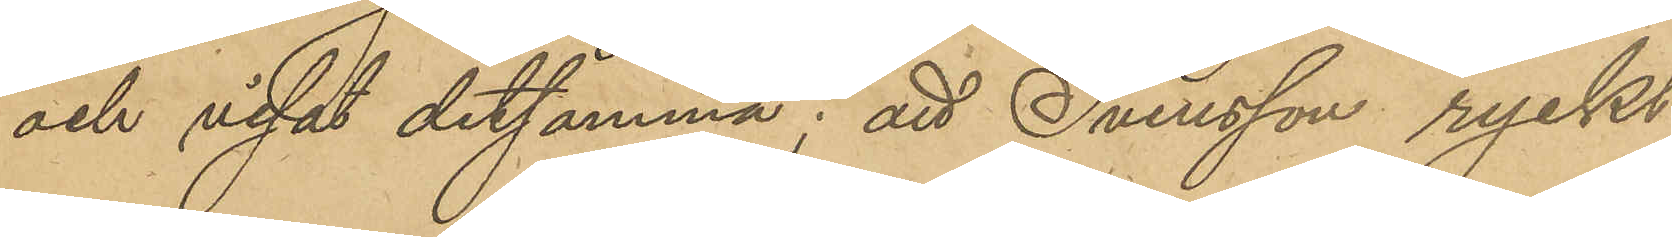och visat detsamma; att Svensson ryckt
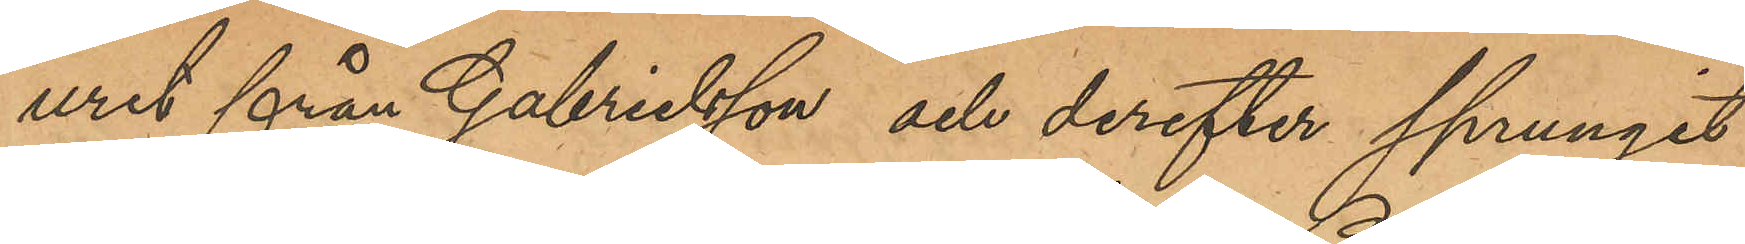uret från Gabrielsson och derefter sprungit
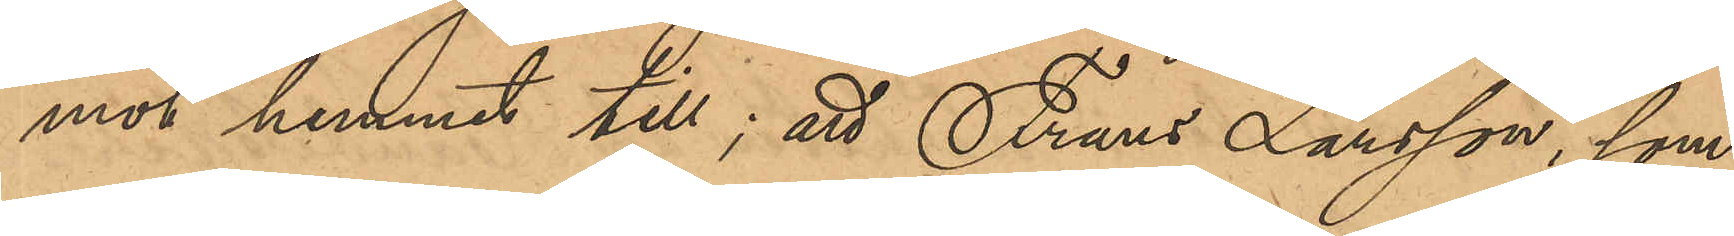mot hemmet till; att Frans Larsson, som
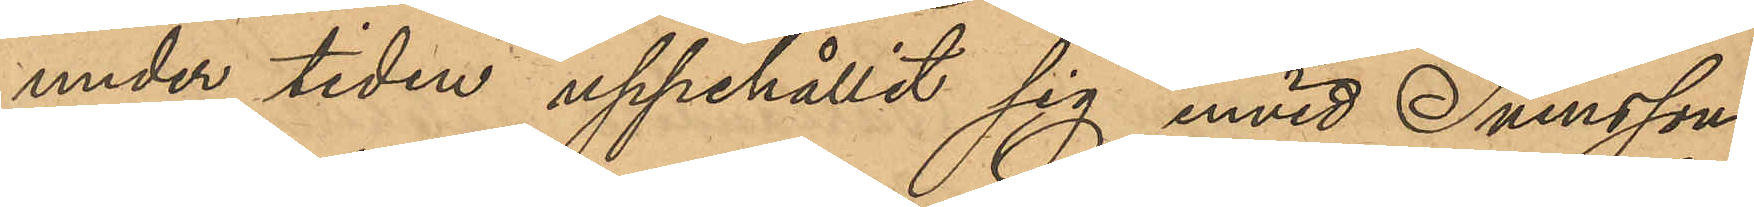under tiden uppehållit sig invid Svenssons
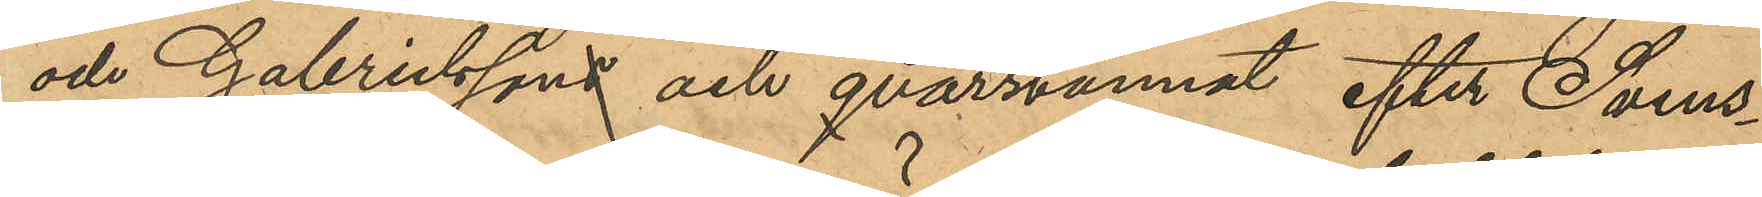och Gabrielssons och qvarstannat efter Svens¬
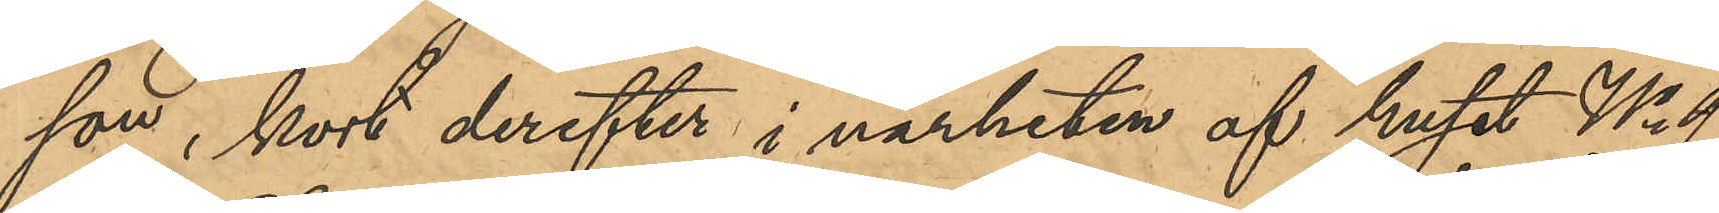son, kort derefter i närheten af huset No 9
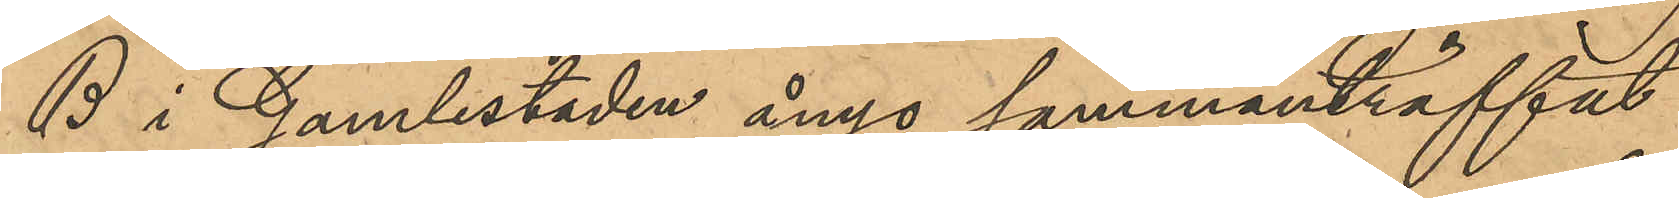B i Gamlestaden ånyo sammanträffat
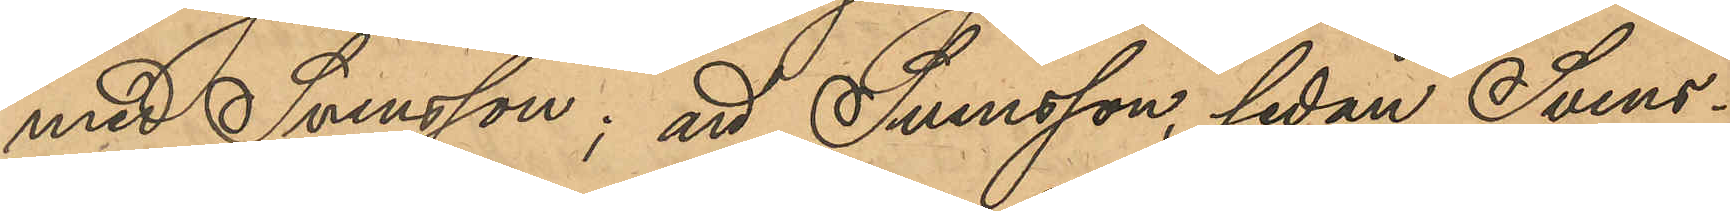med Svensson; att Svensson, sedan Svens¬
